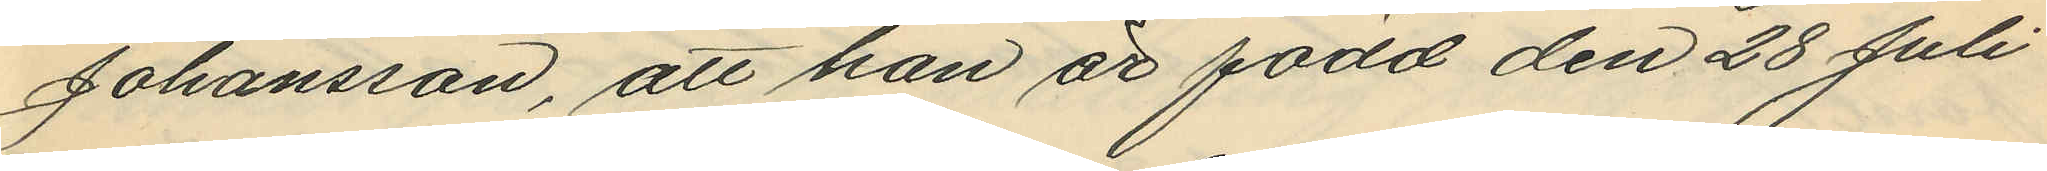Johansson, att han är född den 28 Juli
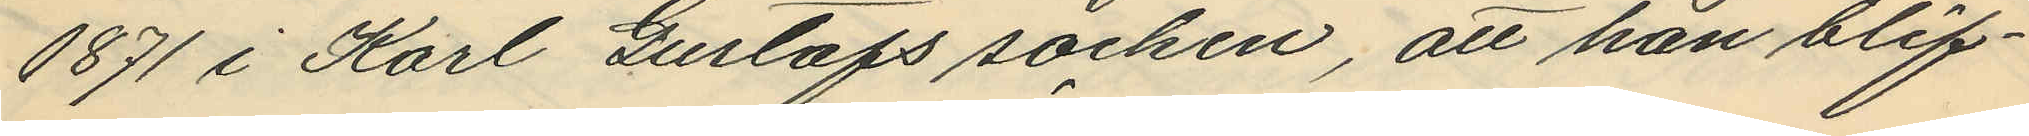1871 i Karl Gustafs socken, att han blif¬
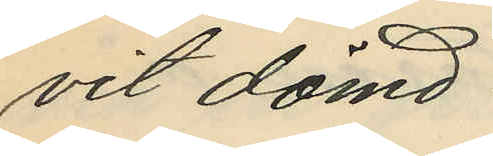vit dömd:
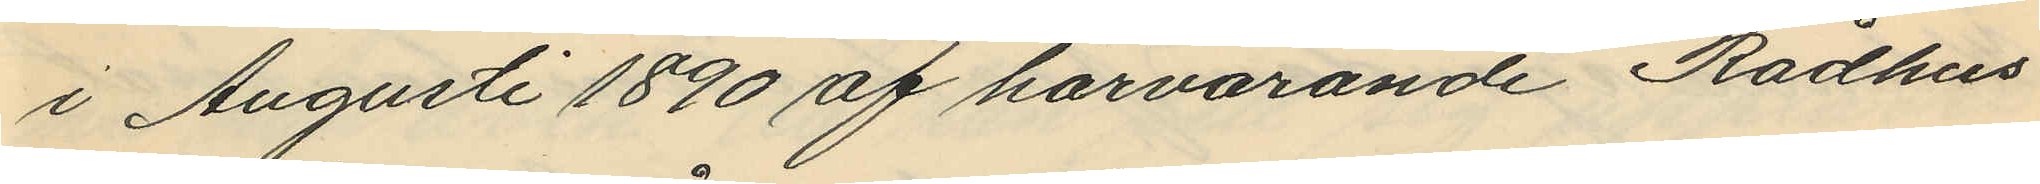i Augusti 1890 af härvarande Rådhus
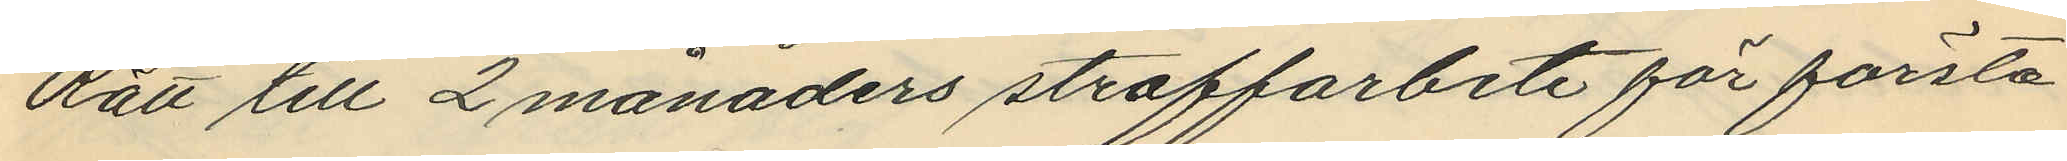Rätt till 2 månaders straffarbete för första
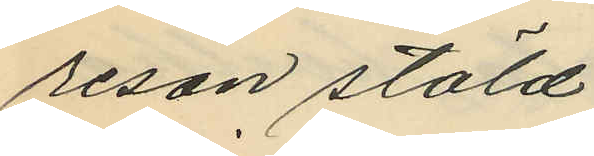resan stöld.
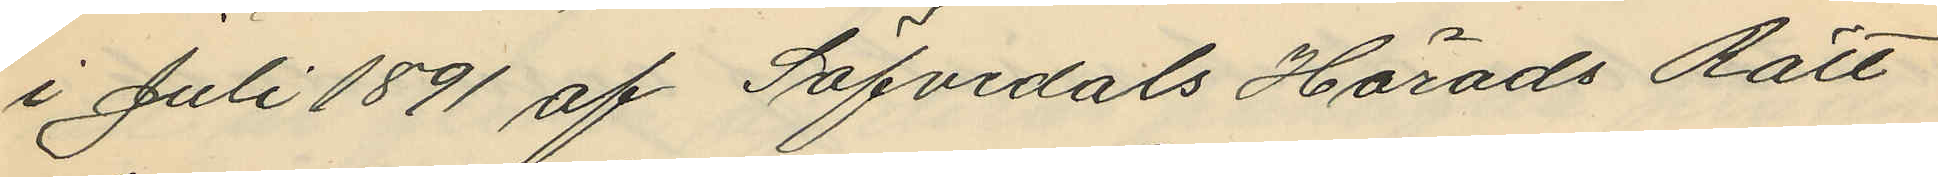i Juli 1891 af Säfvedals Härads Rätt
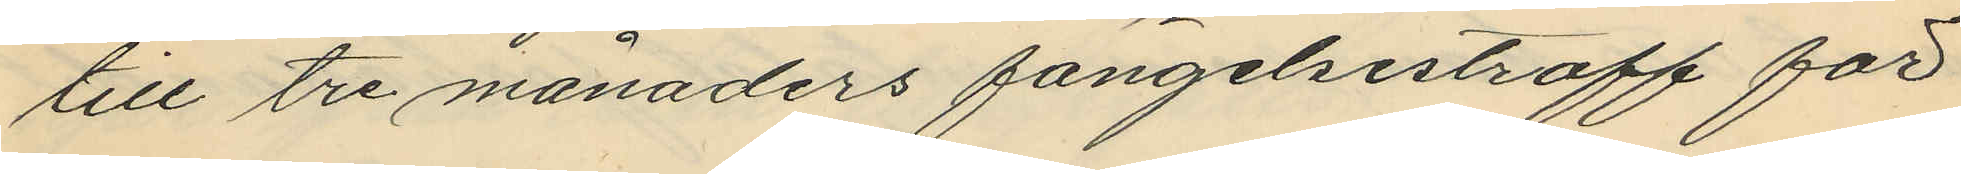till tre månaders fängelsestraff för
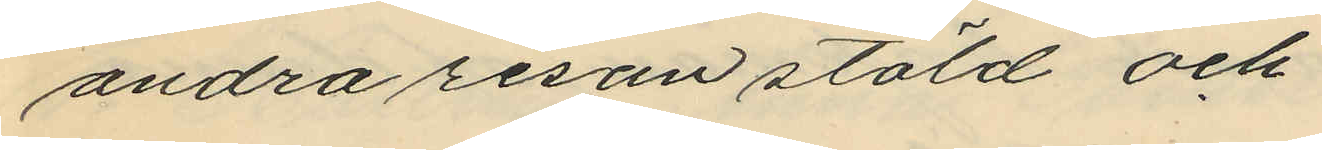andra resan stöld och
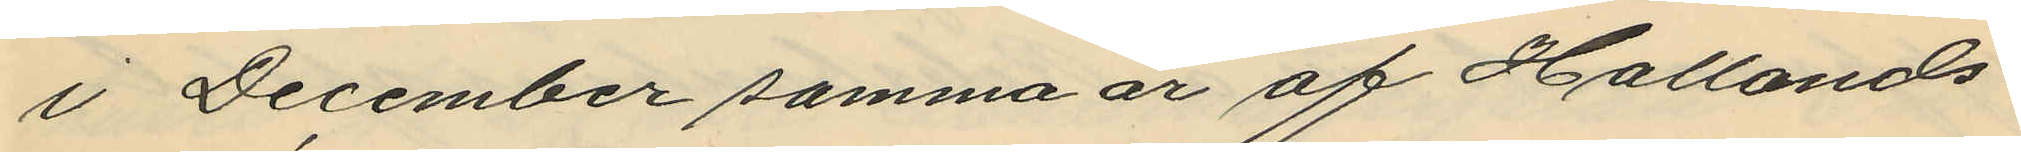i December samma år af Hallands
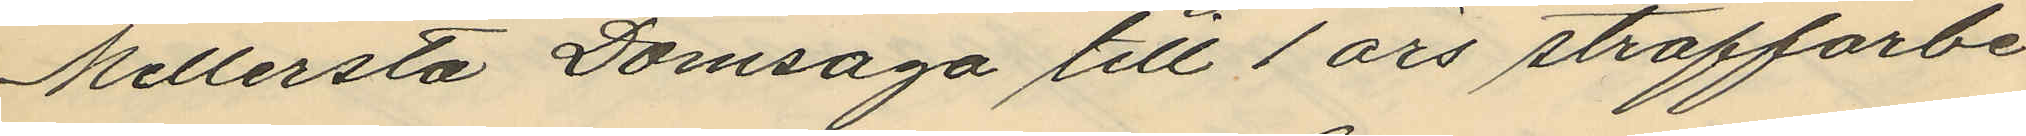Mellersta Domsaga till 1 års straffarbe
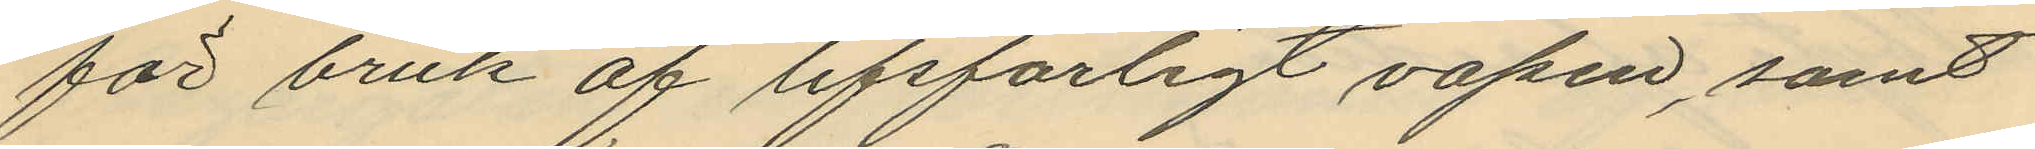för bruk af lifsfarligt vapen, samt
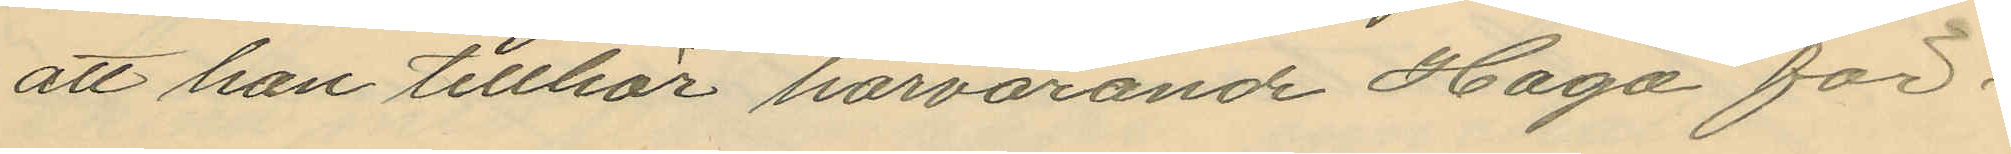att han tillhör härvarande Haga för¬
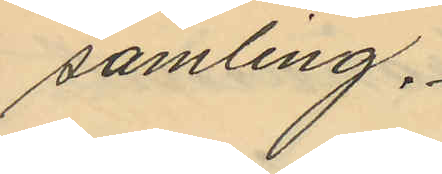samling.
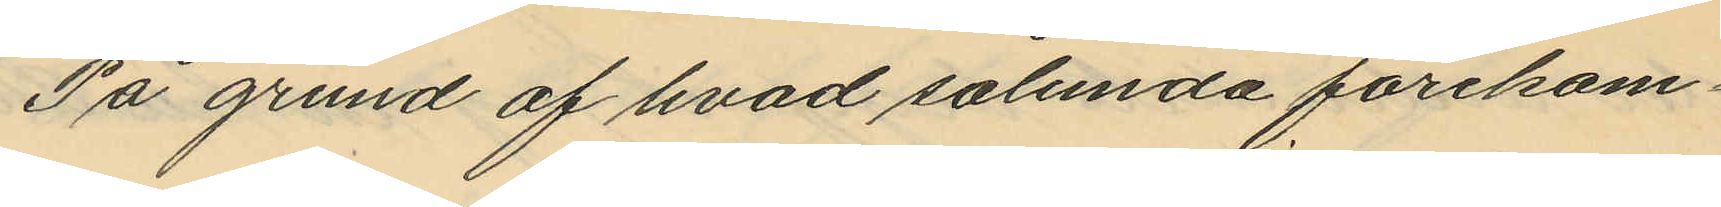På grund af hvad sålunda förekom¬
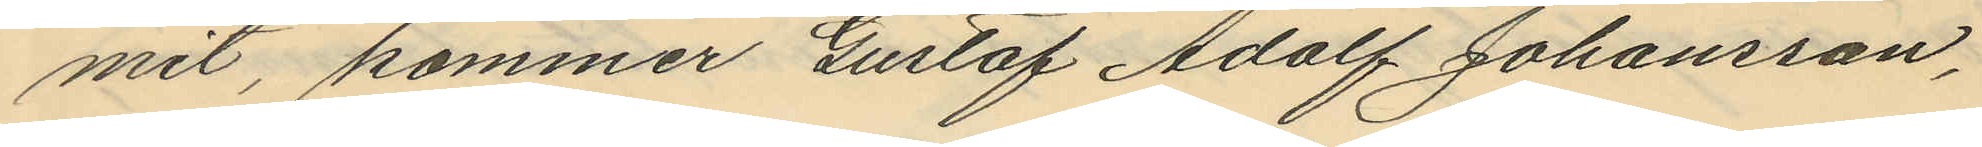mit, kommer Gustaf Adolf Johansson,
